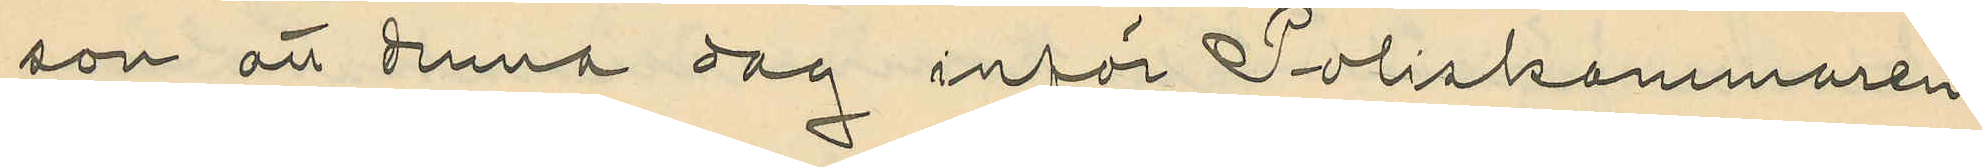son att denna dag inför Poliskammaren
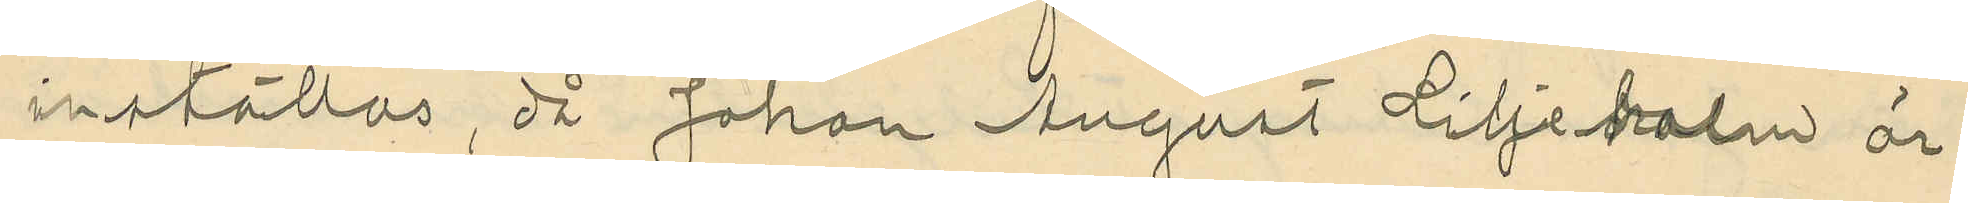inställas, då Johan August Liljeholm är
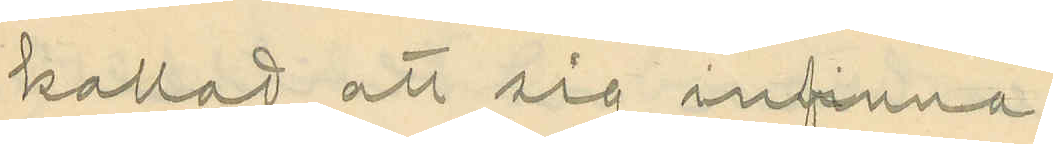kallad att sig infinna.
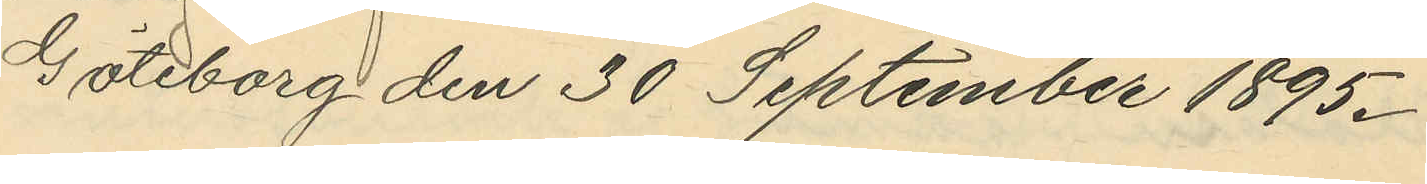Göteborg den 30 September 1895.
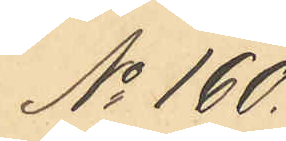No 160.
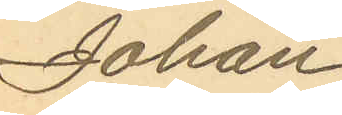Johan
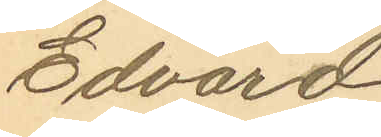Edvard
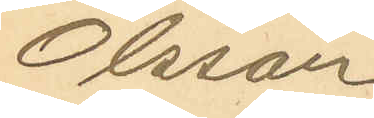Olsson
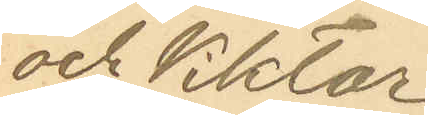och Viktor
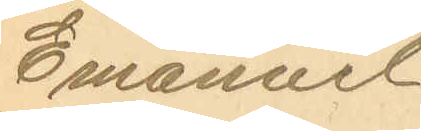Emanuel
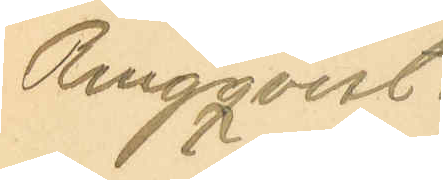Ringqvist.
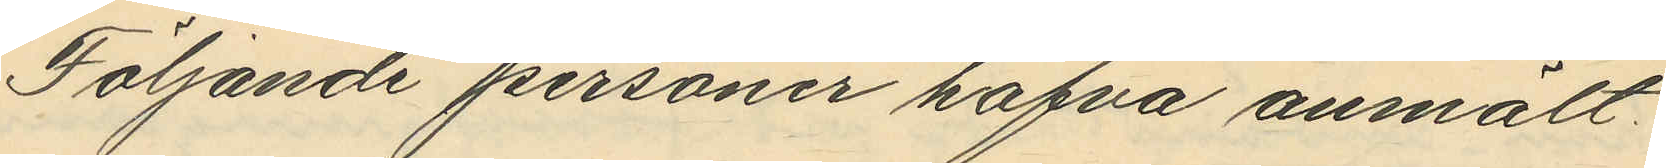Följande personer hafva anmält:
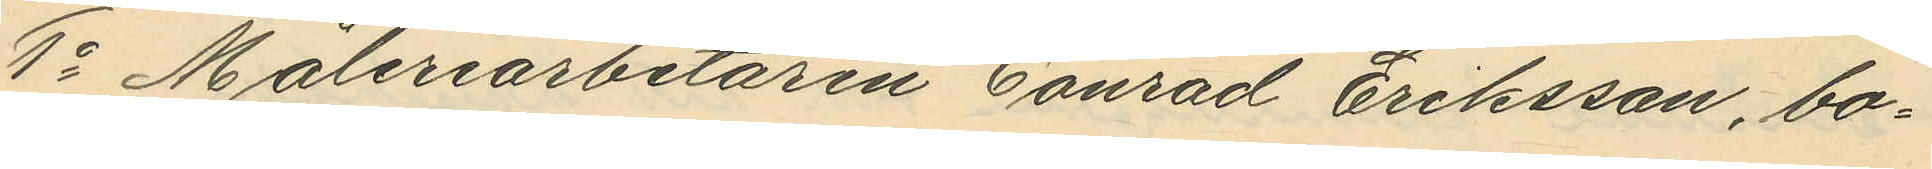1o Måleriarbetaren Conrad Eriksson, bo¬
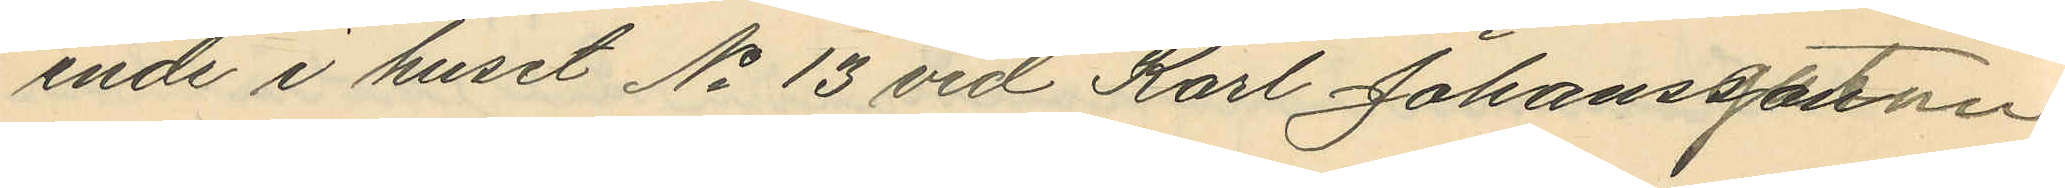ende i huset No 13 vid Karl Johansgatan
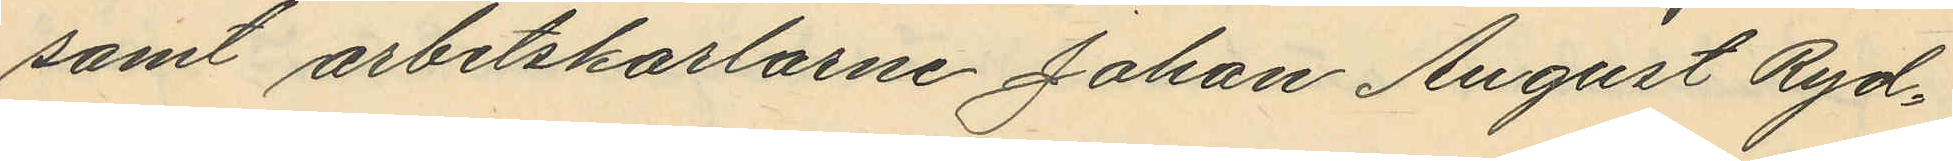samt arbetskarlarne Johan August Ryd¬
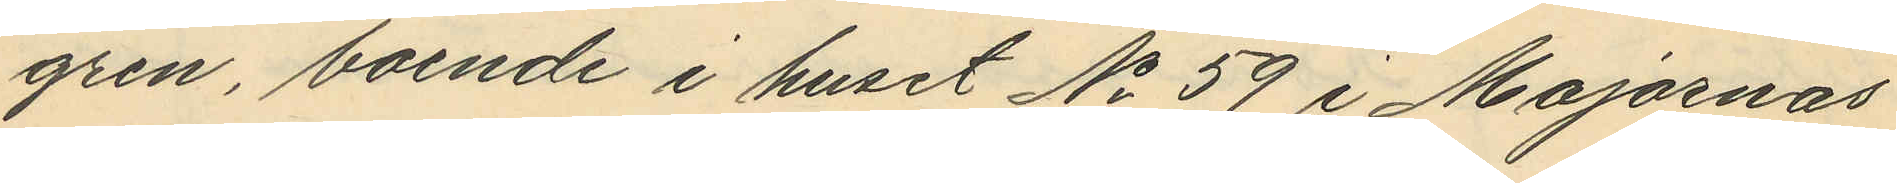gren, boende i huset No 59 i Majornas
